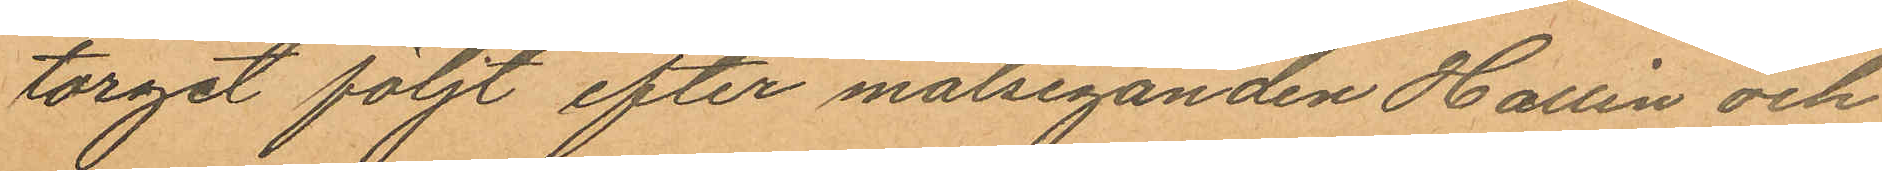torget följt efter målseganden Hallén och
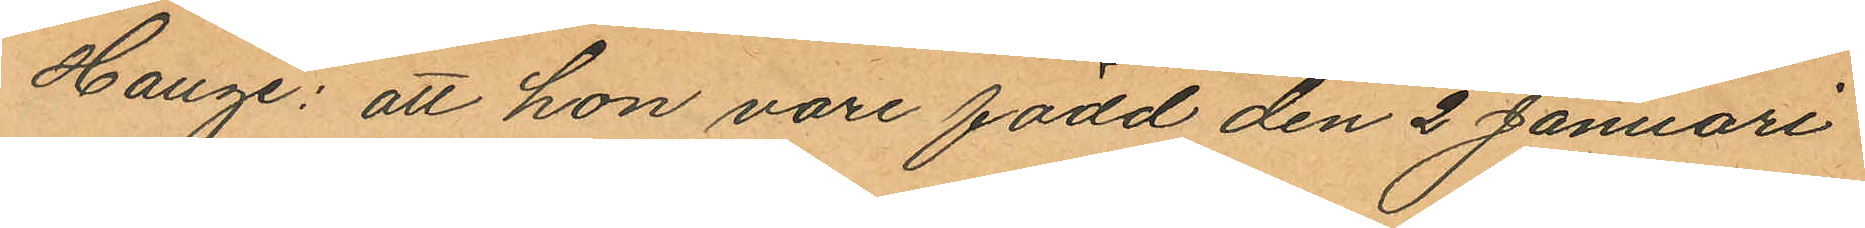Hauge: att hon vore född den 2 Januari
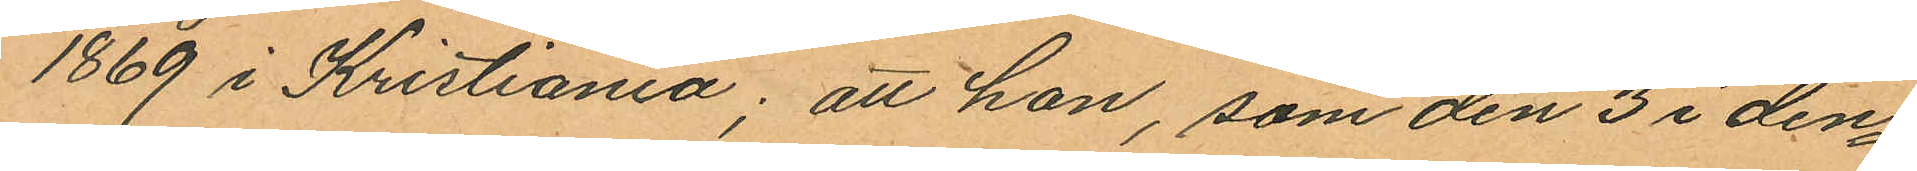1869 i Kristiania; att hon, som den 3 i den¬
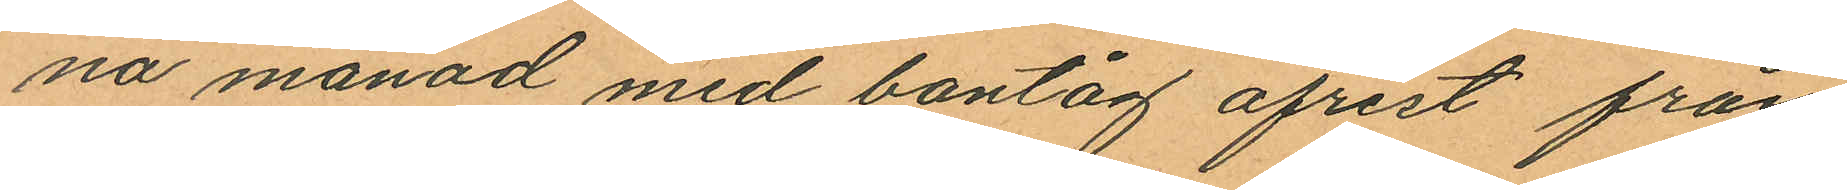na månad med bantåg afrest från
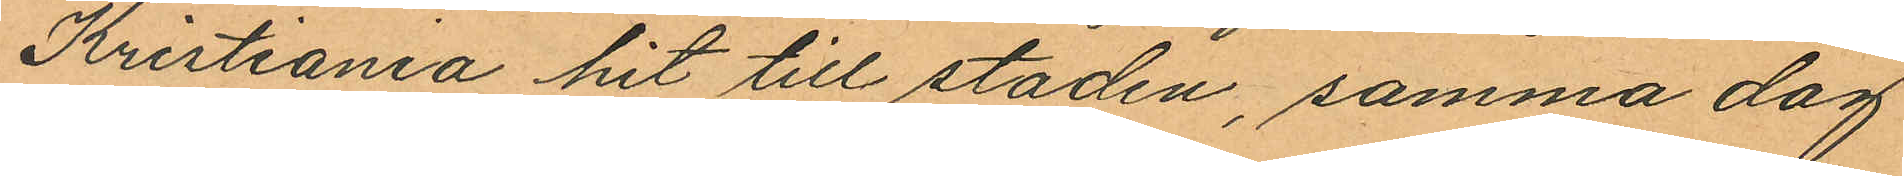Kristiania hit till staden, samma dag
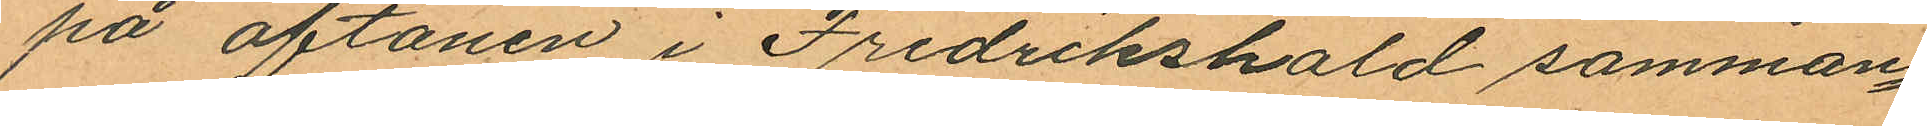på aftonen i Fredrikshald samman¬
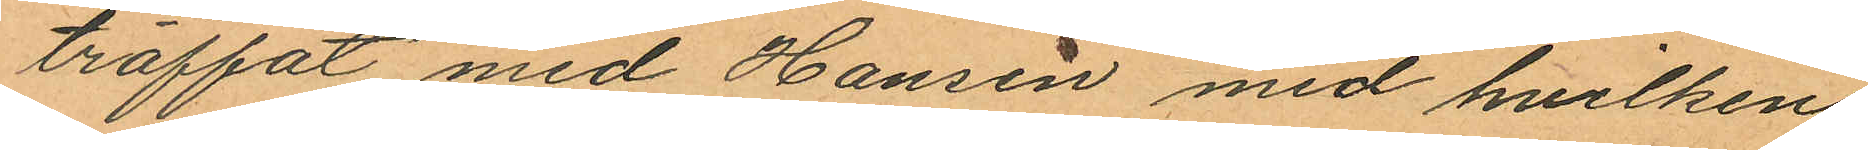träffat med Hansen med hvilken
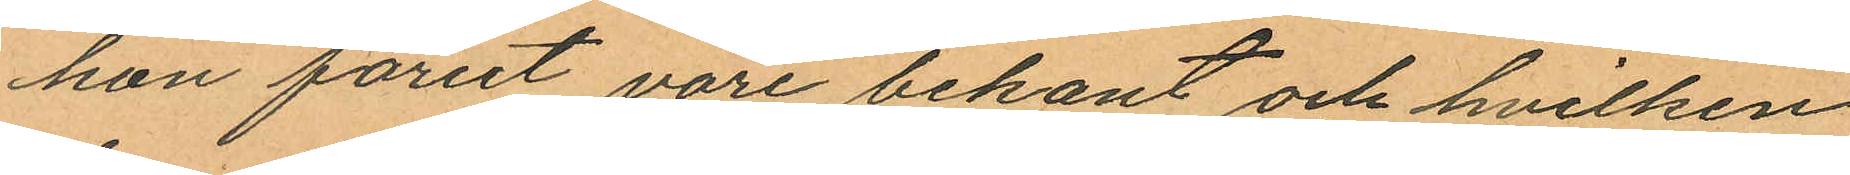hon förut vore bekant och hvilken
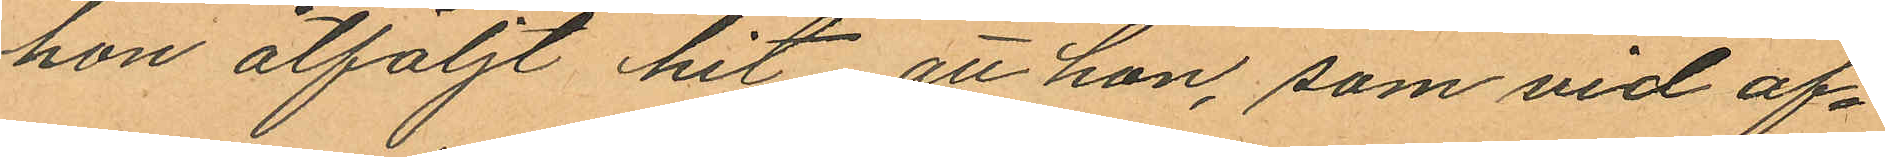hon åtföljt hit, att hon, som vid af¬
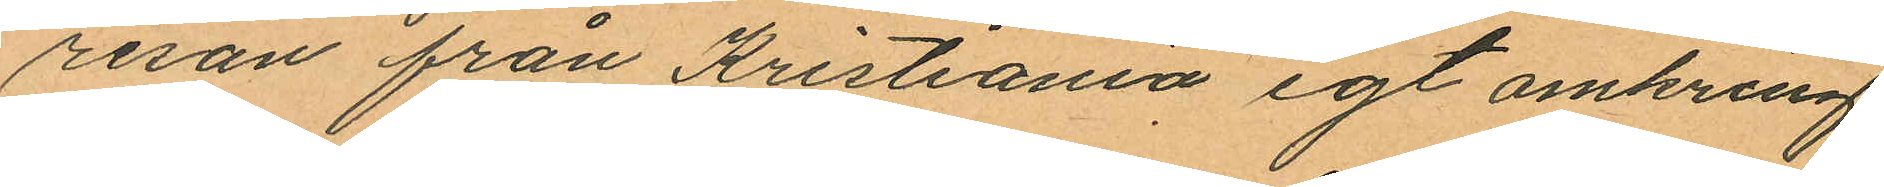resan från Kristiania egt omkring
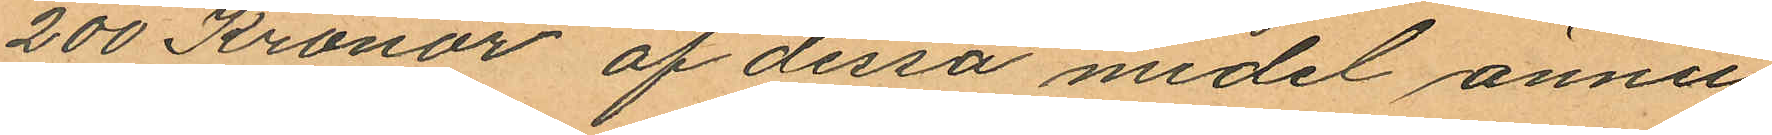200 Kronor af dessa medel ännu
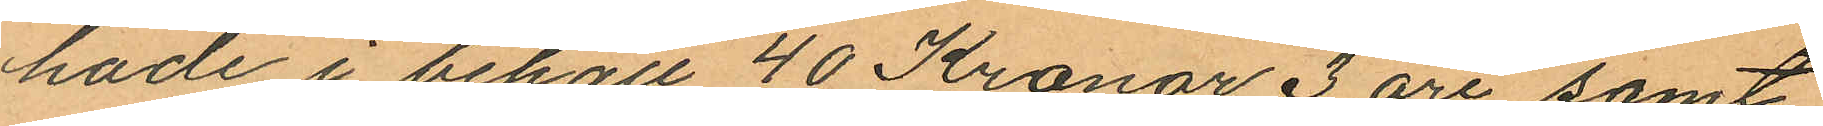hade i behåll 40 Kronor 3 öre samt
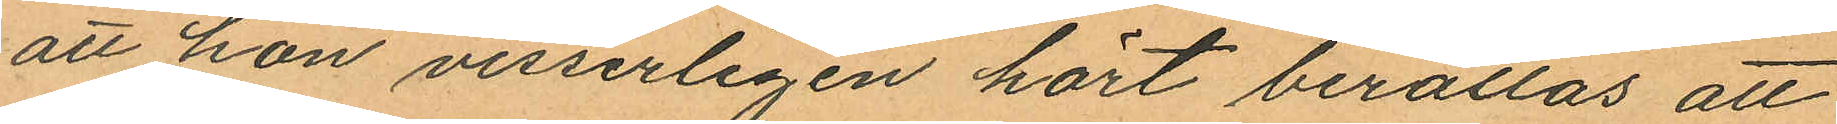att hon visserligen hört berättas att
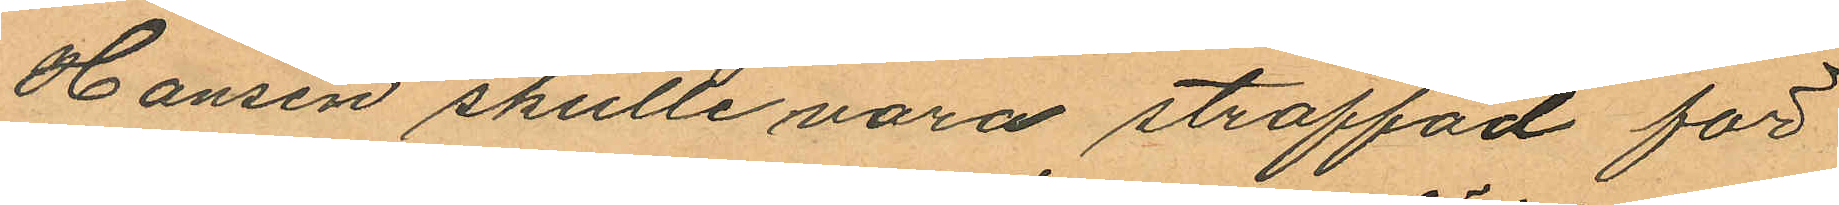Hansen skulle vara straffad för
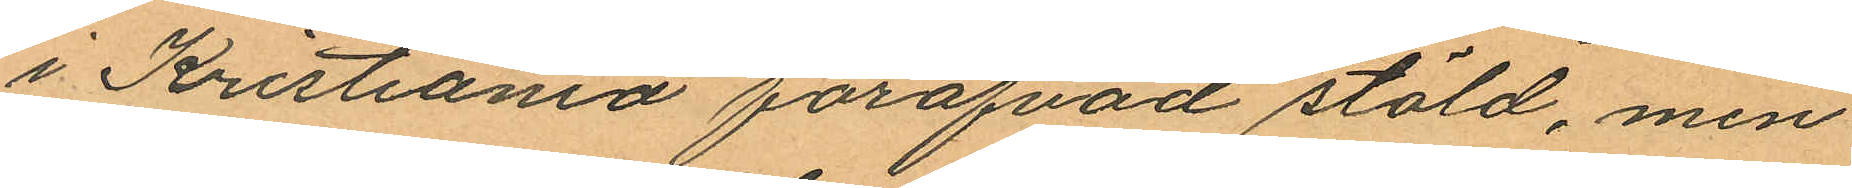i Kristiania föröfvad stöld, men
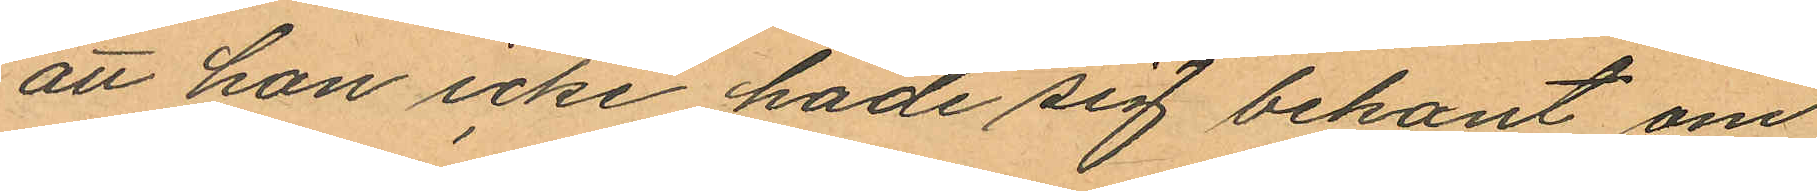att hon icke hade sig bekant om
